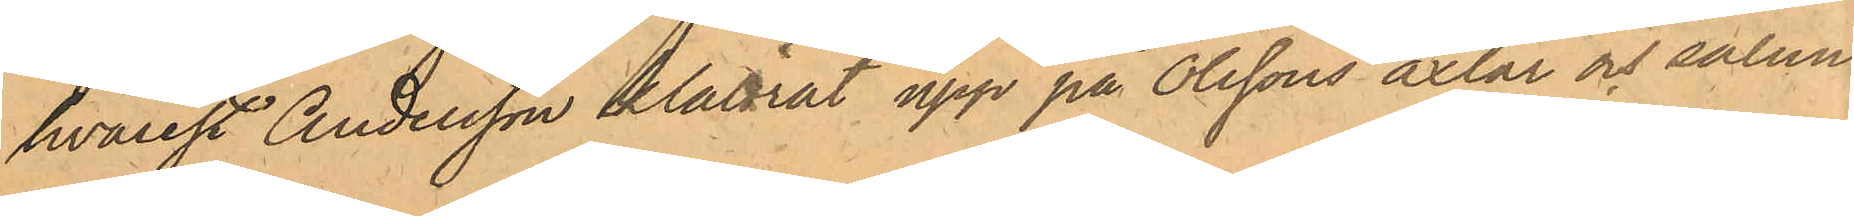hvarest Andersson klättrat upp på Olssons axlar och sålun¬
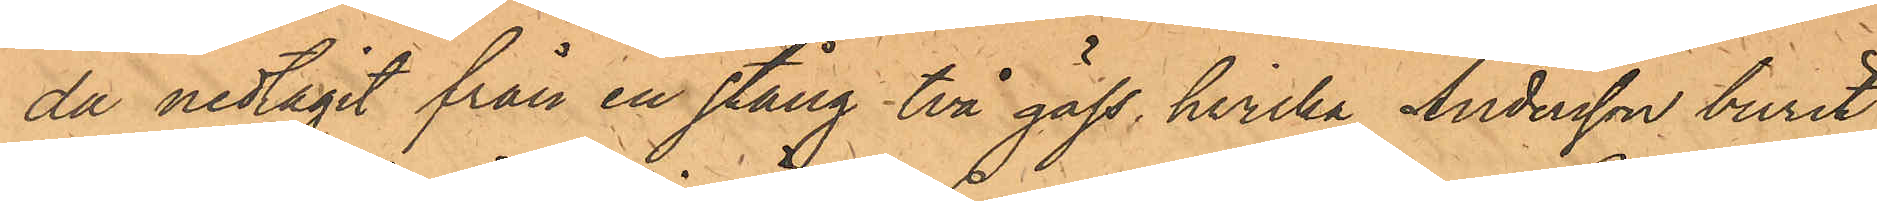da nedtagit från en stång två gäss, hvilka Andersson burit 
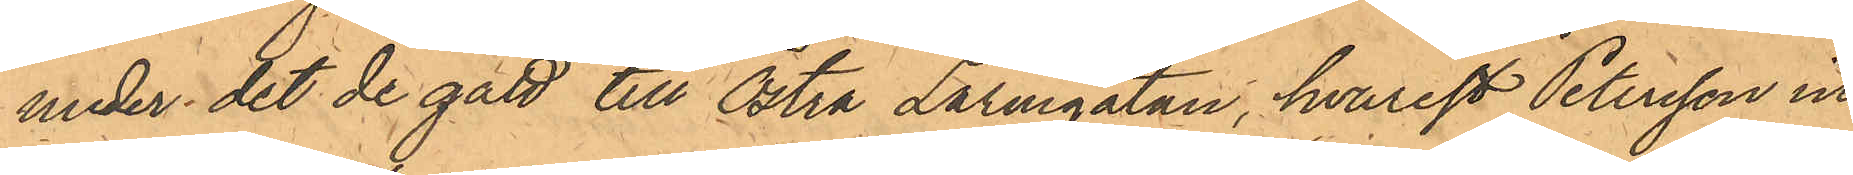under det de gått till Östra Larmgatan, hvarest Peterson in¬
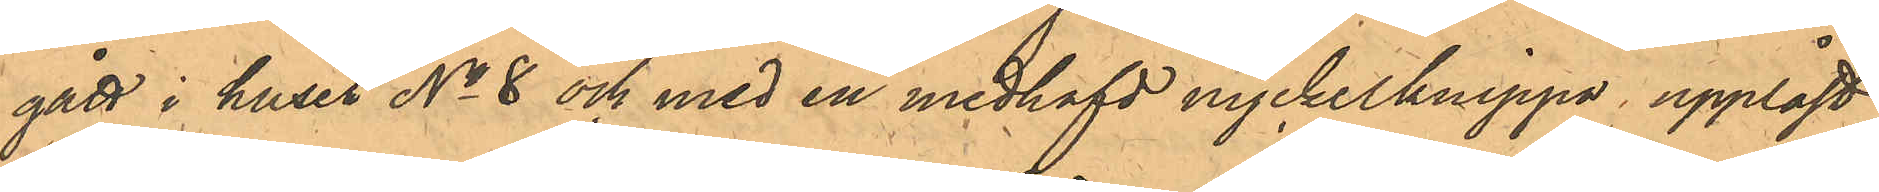gått i huset No 8 och med en medhafd nyckelknippa upplåst
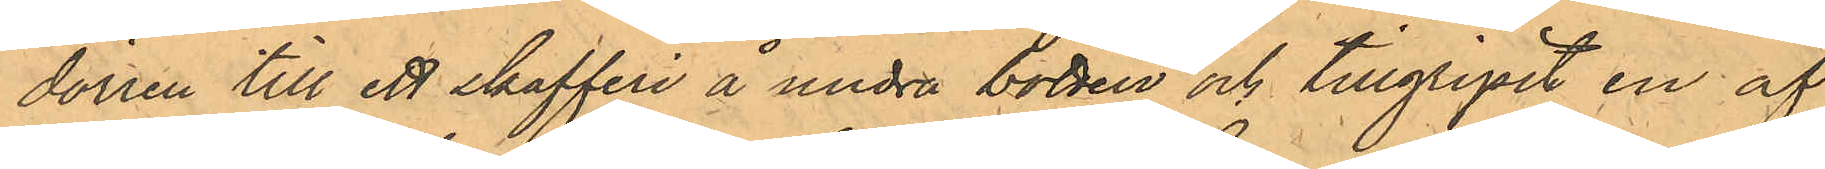dörren till ett skafferi å andra botten och tillgripit en af
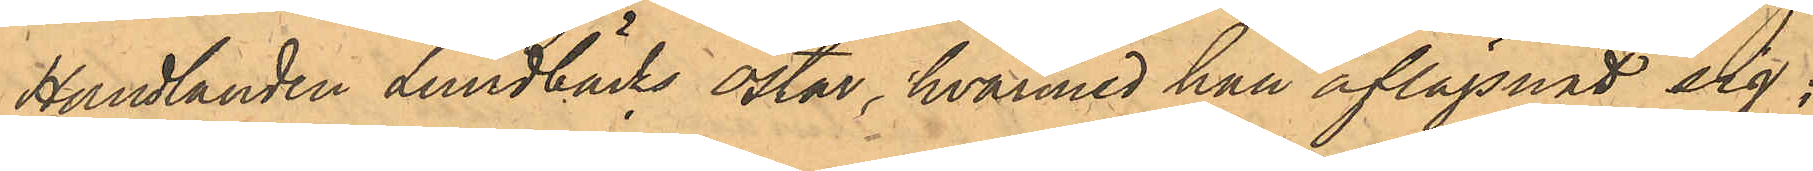Handlanden Lundbäcks ostar, hvarmed han aflägsnat sig;
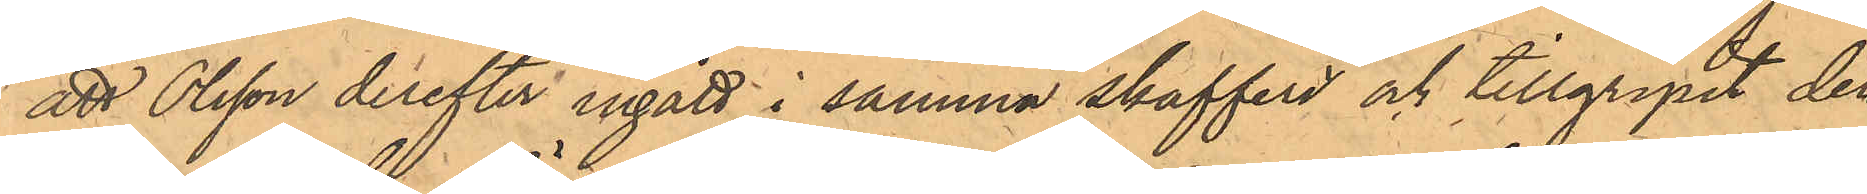att Olsson derefter ingått i samma skafferi och tillgripit den
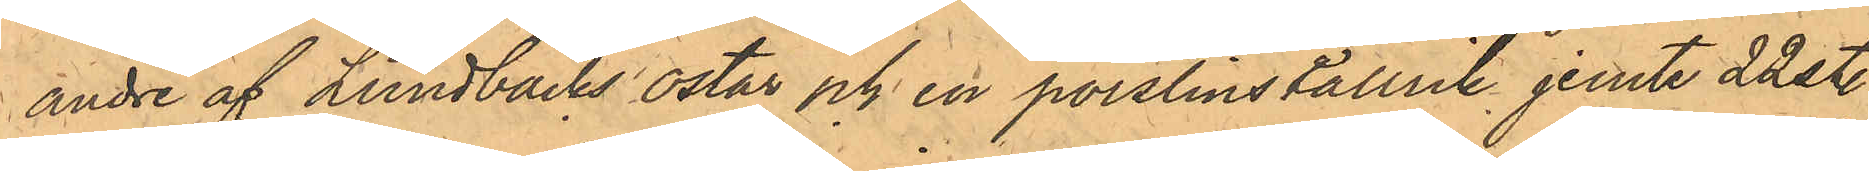andre av Lundbäcks ostar och en porslinstallrik jemte 22 st.
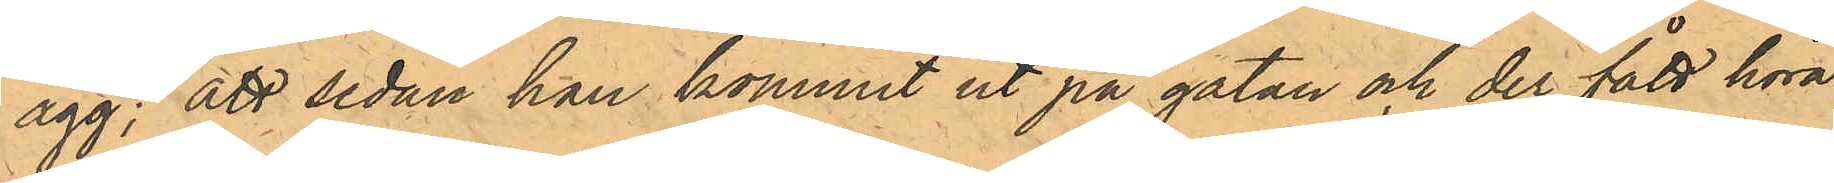ägg; att sedan han kommit ut på gatan och der fått höra
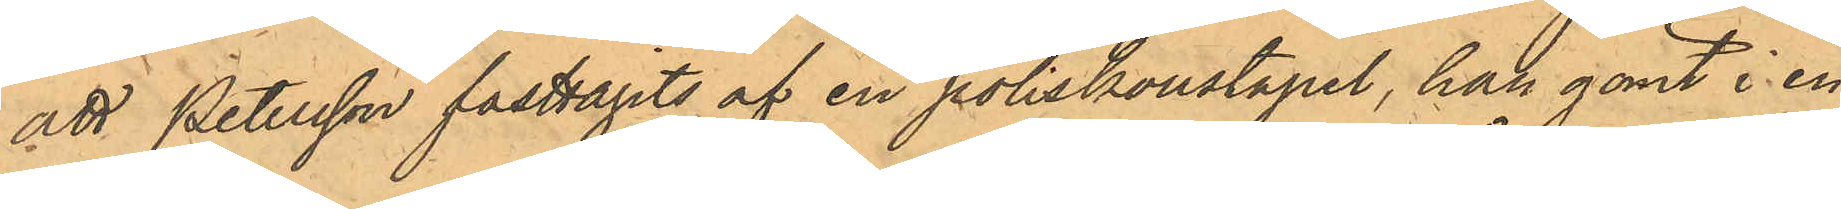att Petersson fasttagits af en poliskonstapel, han gömt i en
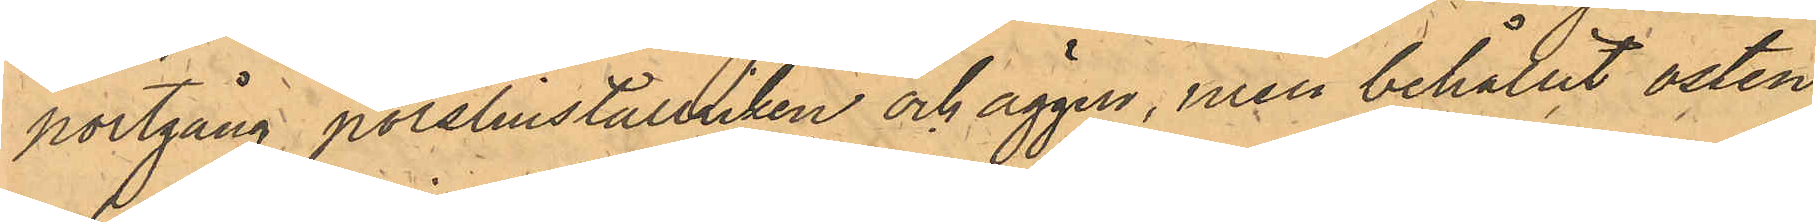portgång porslintallriken och äggen, men behållit osten
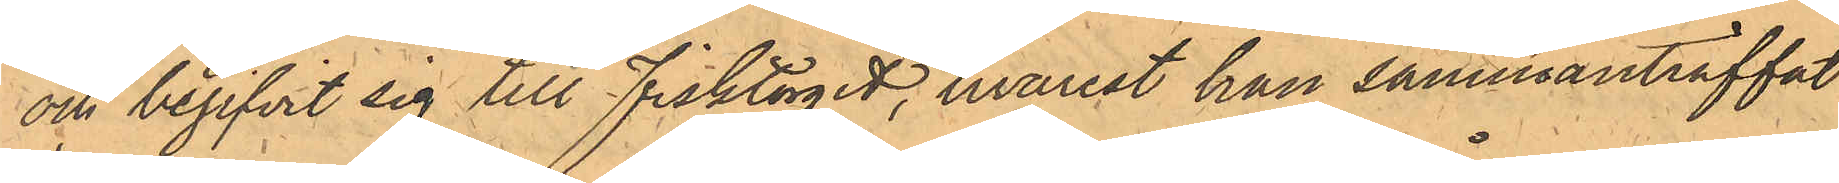och begifvit sig till Fisktorget, hvarest han sammanträffat
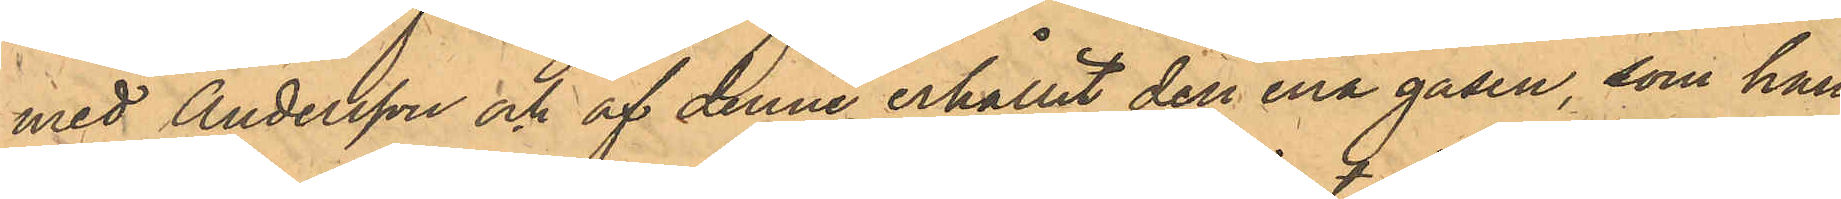med Andersson och af denne erhållit den ena gåsen, som han
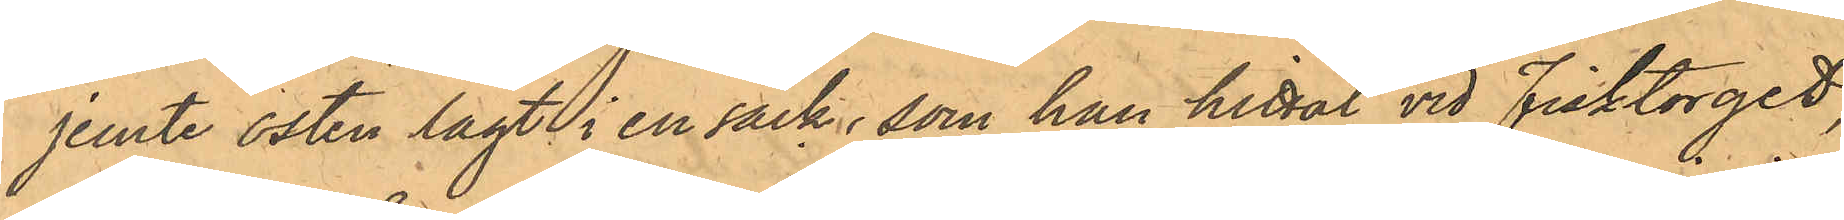jemte osten lagt i en säck, som han hittat vid Fisktorget,
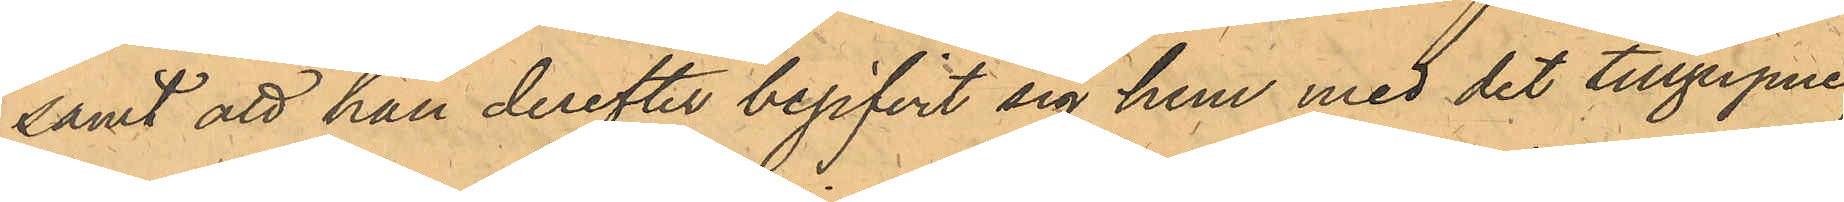samt att han derefter begifvit sig hem med de tillgripne,
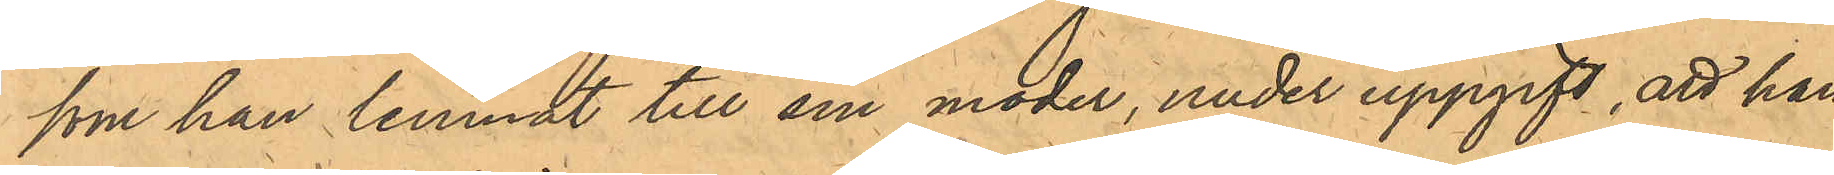som han lemnat till sin moder, under uppgift, att han
